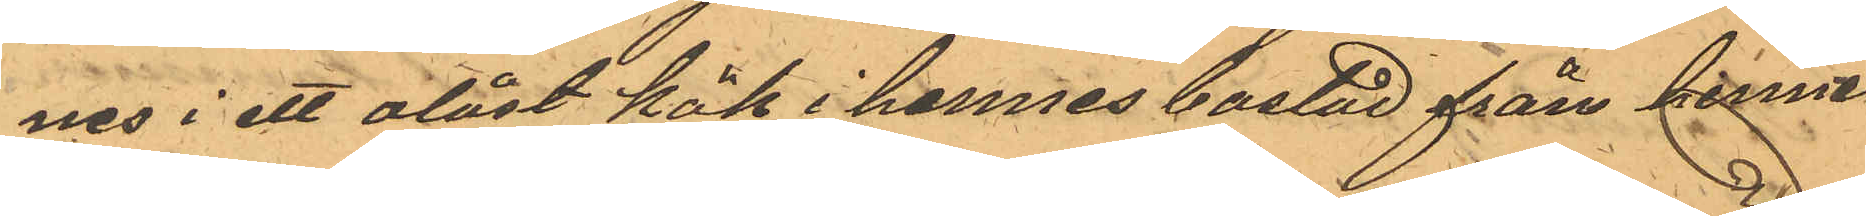nes i ett olåst kök i hennes bostad från henne
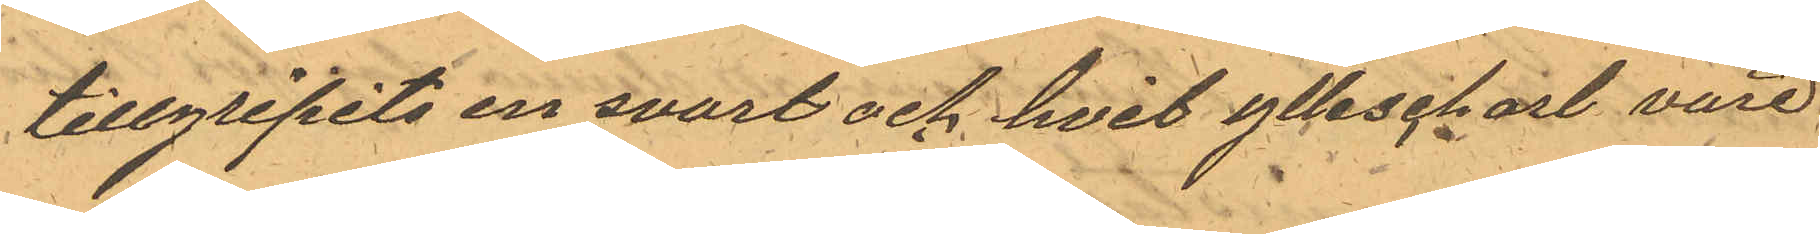tillgripits en svart och hvit yllescharl värd
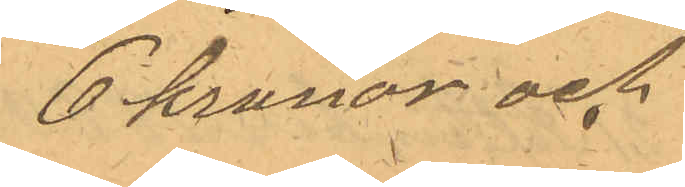6 kronor och
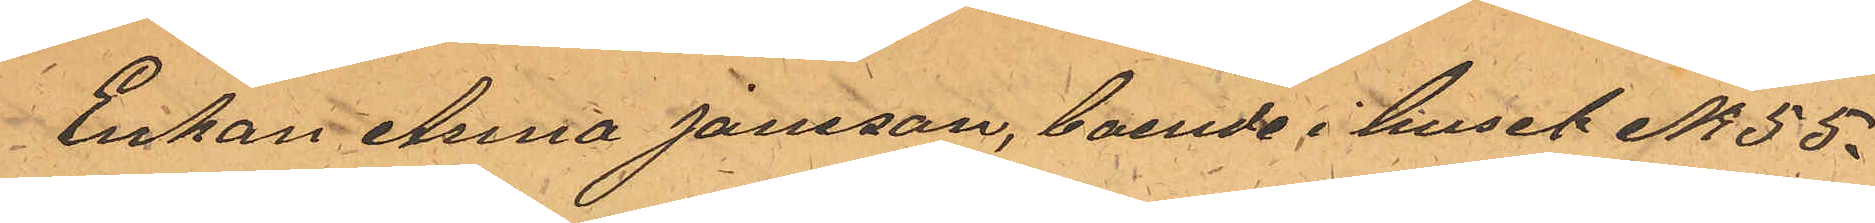Enkan Anna Jansson, boende i huset No 55.
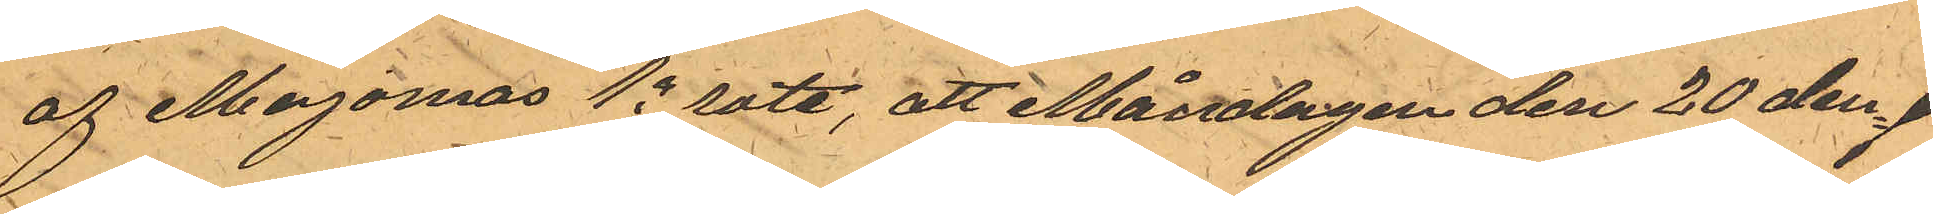af Majornas 1a rote, att Måndagen den 20 den¬
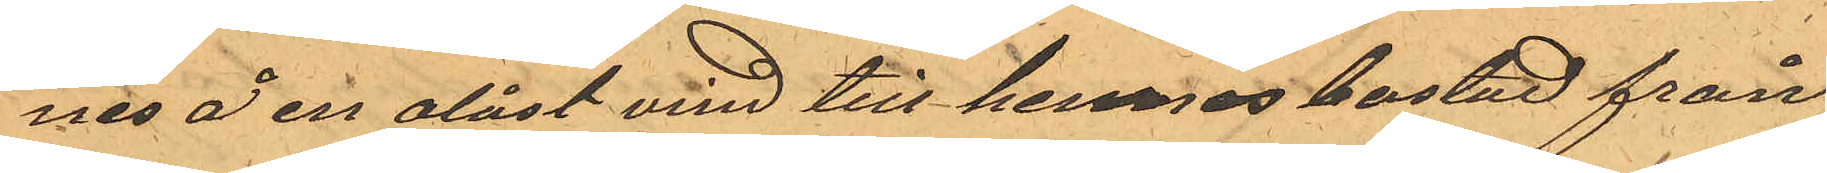nes å en olåst vind till hennes bostad från
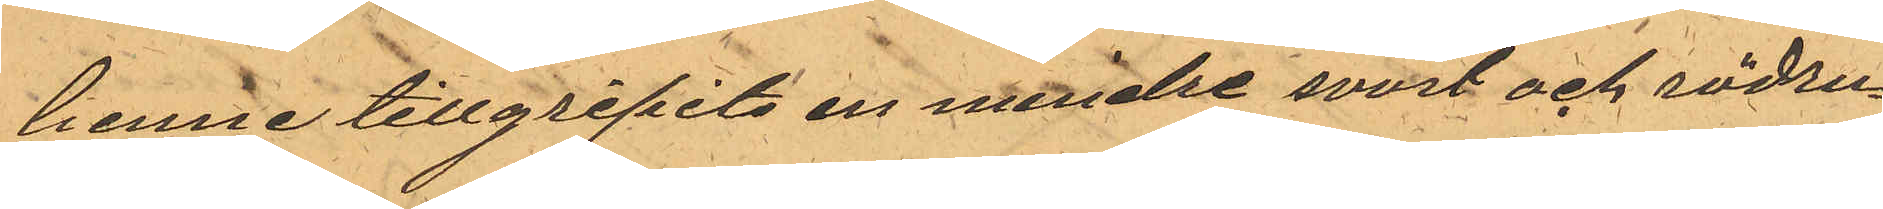henne tillgripits en mindre svart och rödru¬
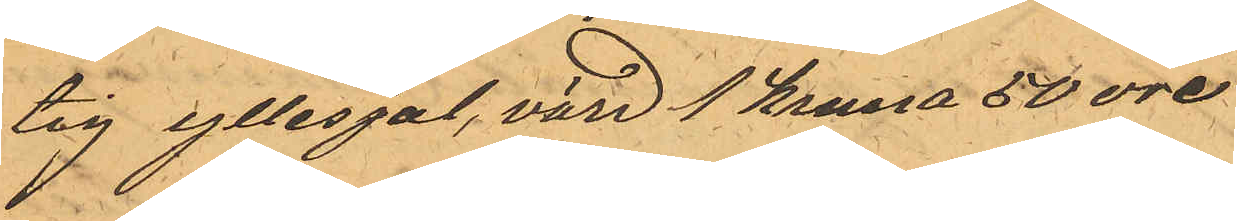tig yllesjal, värd 1 krona 50 öre
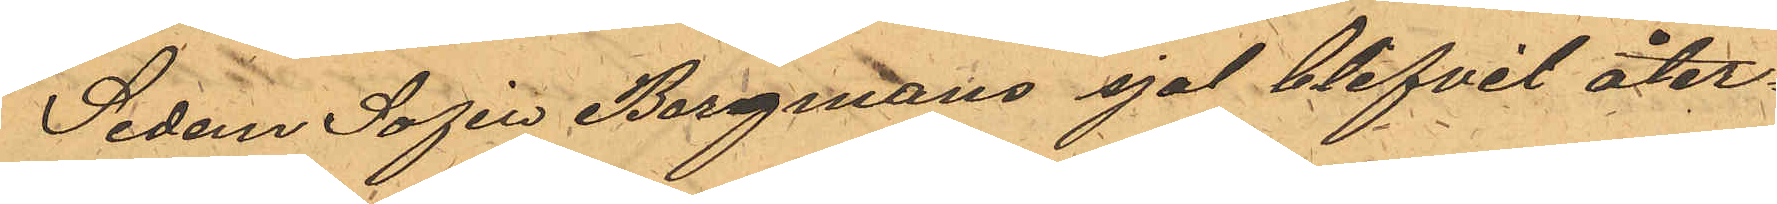Sedan Sofia Bergmans sjal blifvit åter¬
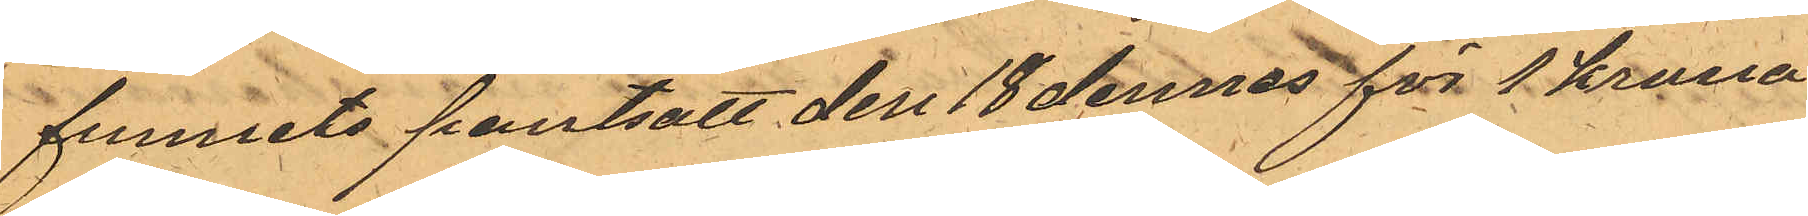funnits pantsatt den 18 dennes för 1 krona
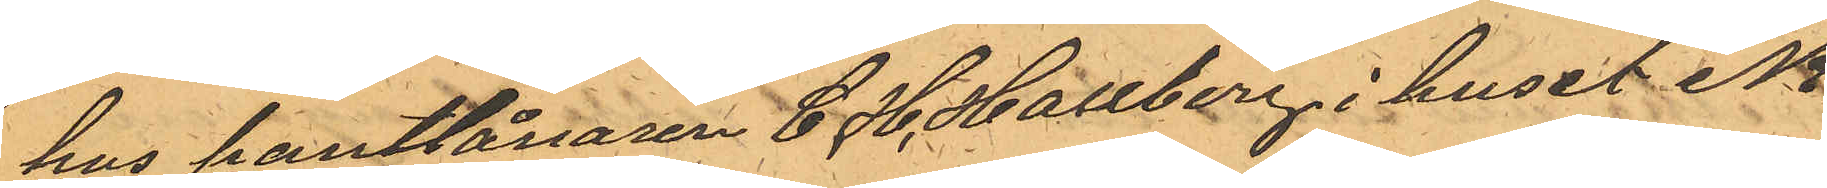hos pantlånaren C. H. Hallberg i huset No
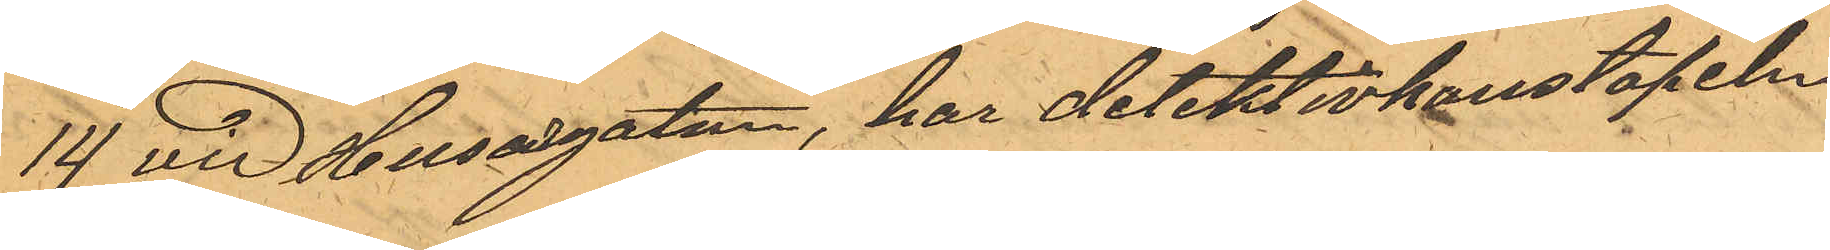14 vid Husargatan, har detektivkonstapeln
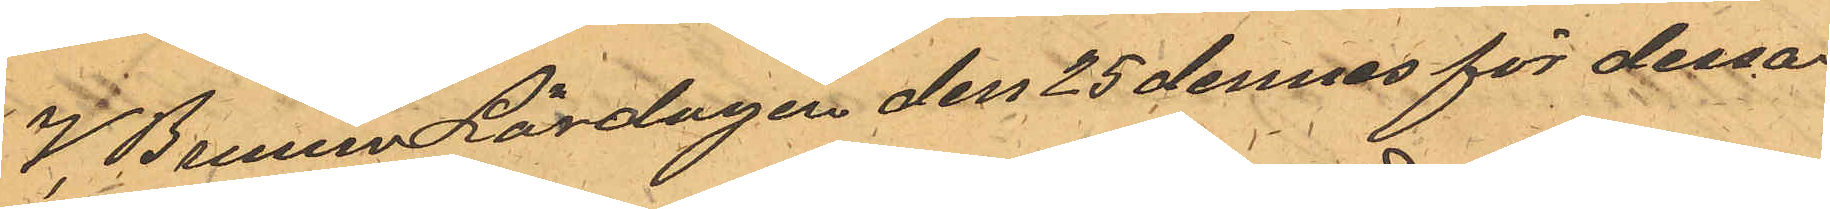V. Bruun Lördagen den 25 dennes för dessa
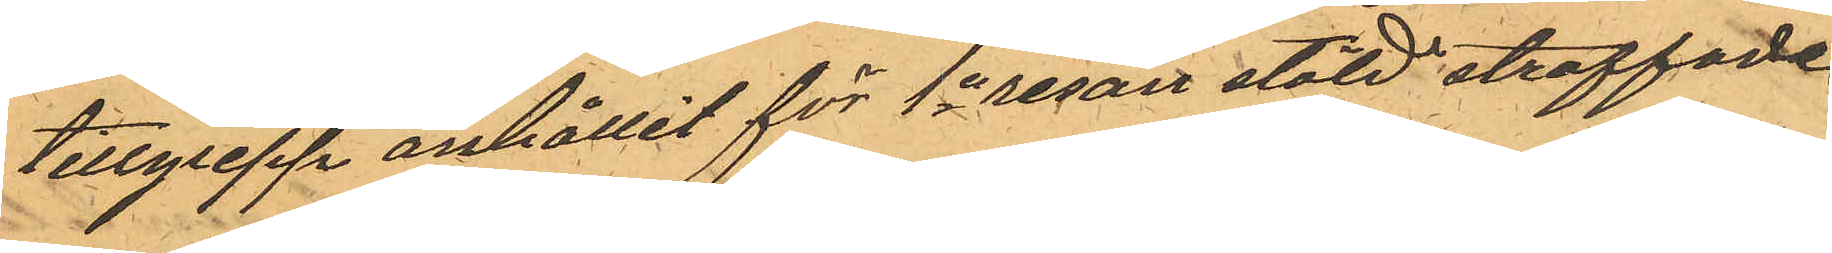tillgrepp anhållit för 1a resan stöld straffade
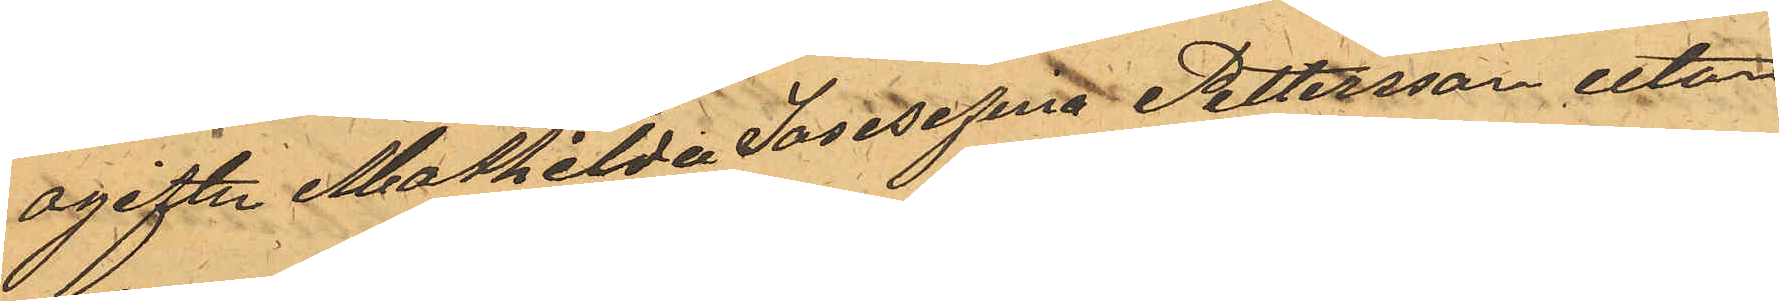ogifta Mathilda Josesefina Pettersson utan
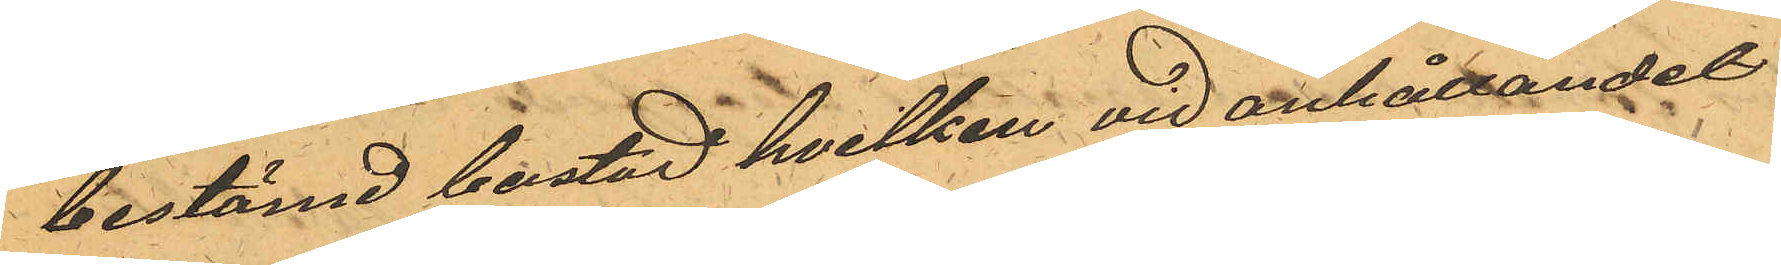bestämd bostad hvilken vid anhållandet
